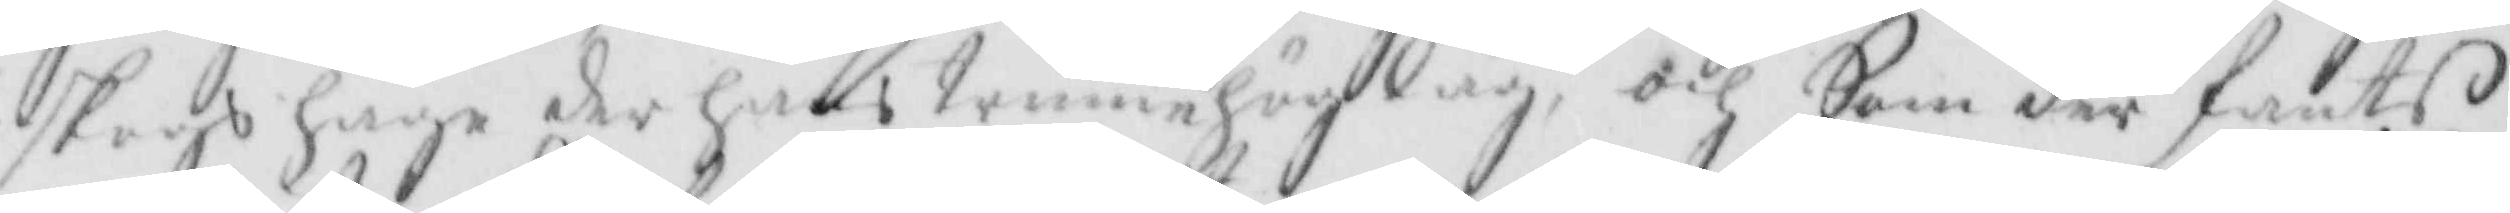skogshuge der hans trimehög låg, och Som der fants
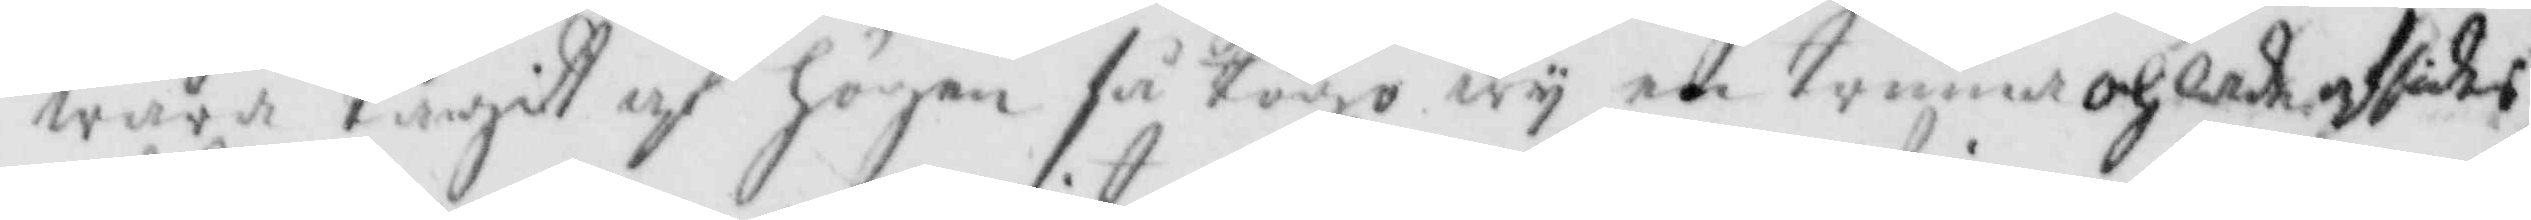wara tagit af högen så togo wy en trimma och lade afsides
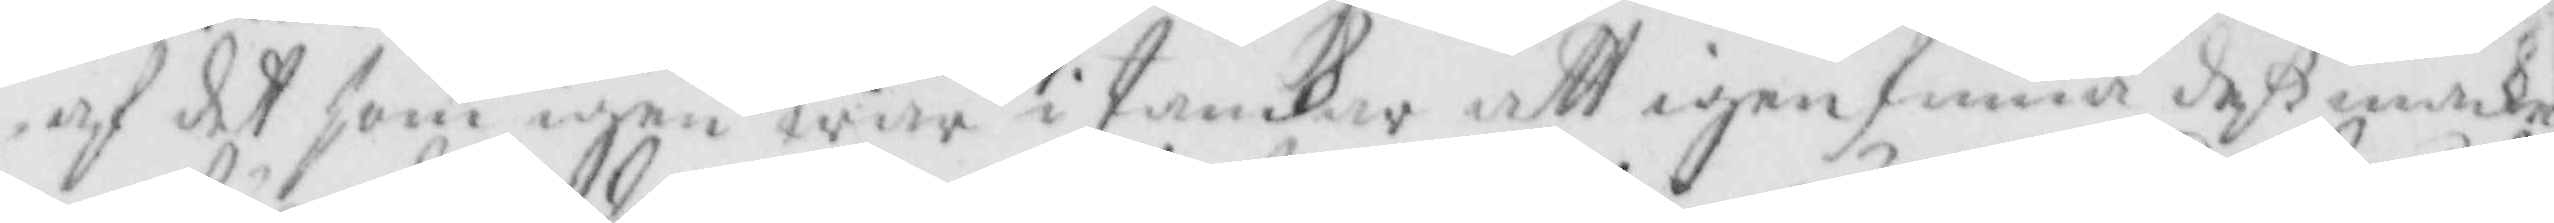af det som ingen war i tankar att igenfinna deß make
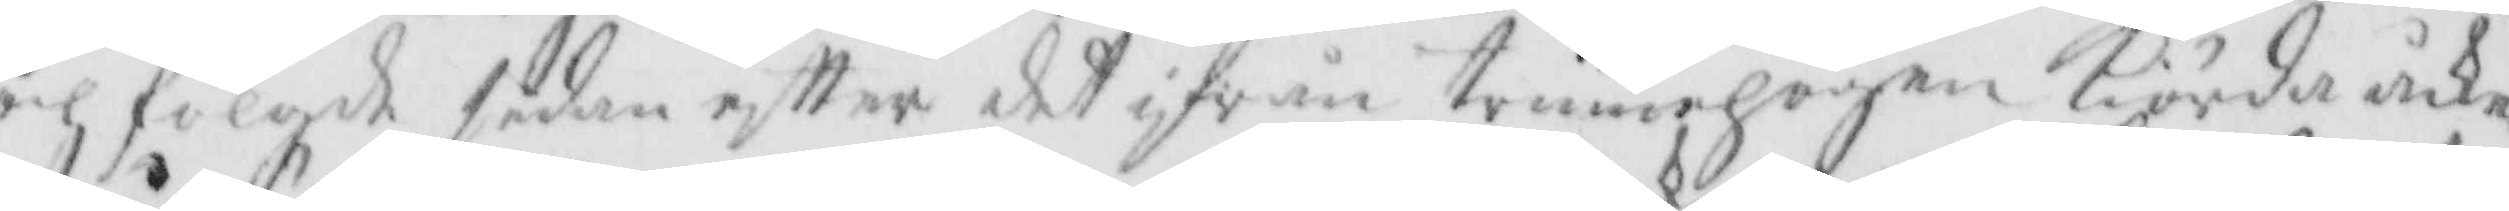och fölgde sedan eftter det ifrån trimehögen kiörda åke¬
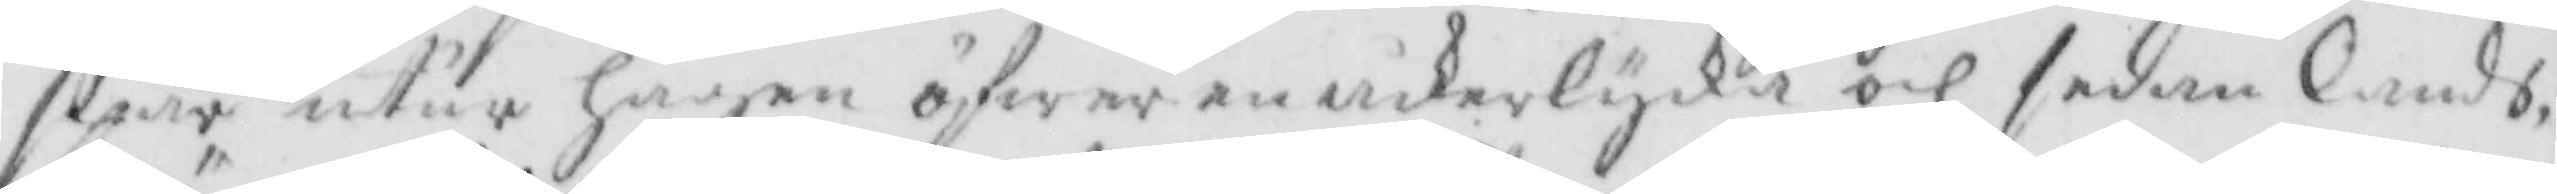spår utur hagen öfwer en åckerlycka och sedan lands¬
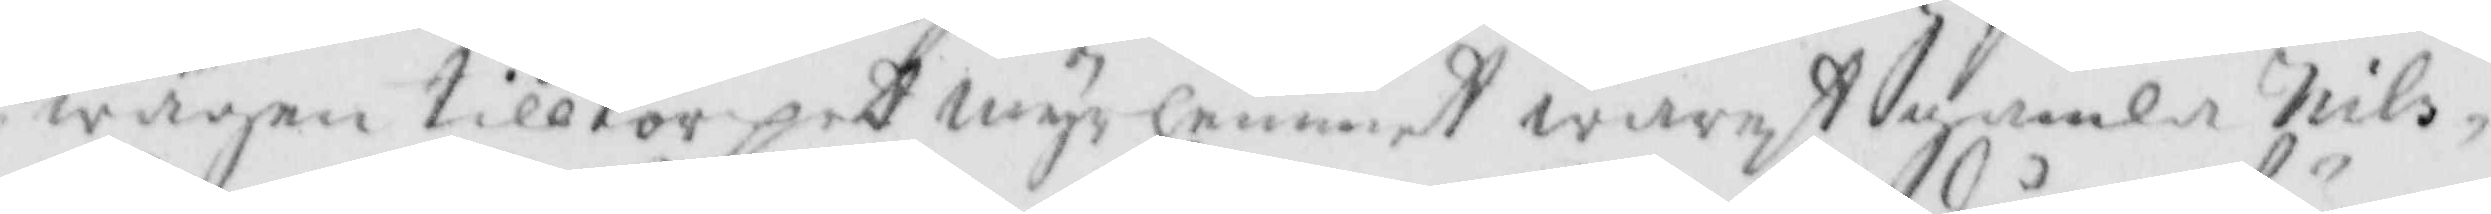wägen till torpet myrhemmet warest gamla Nils
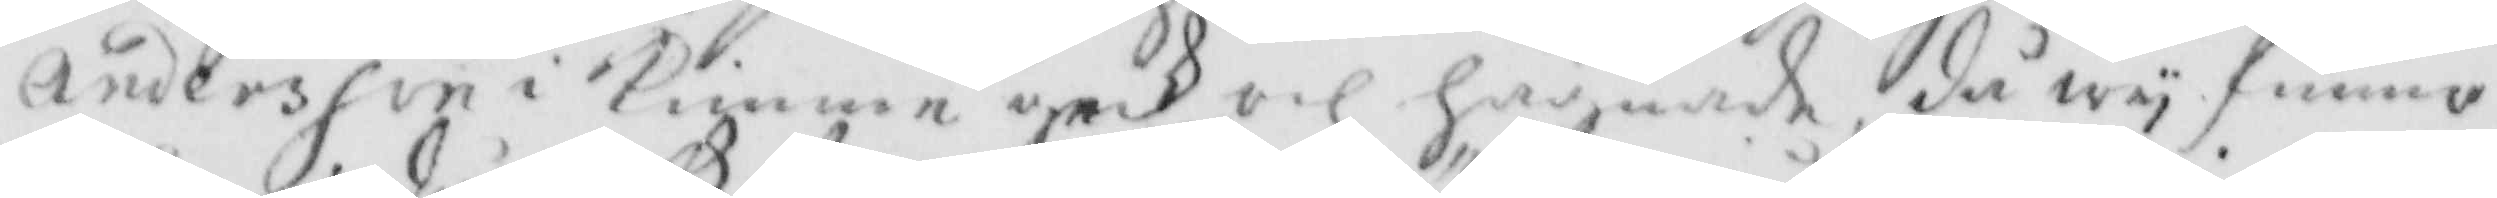Andersson i Kimme geck och hägnade, då wy funno
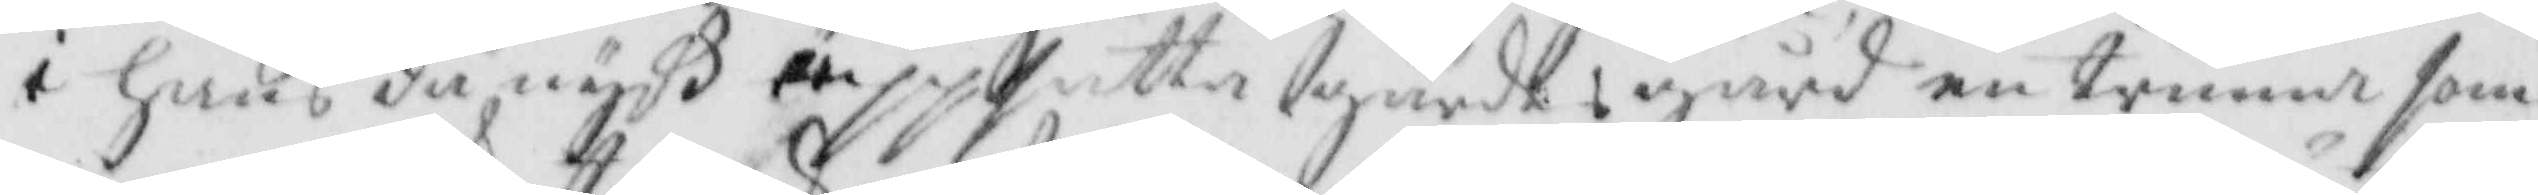i hans då nyß uppsatta gärdtsgård en trimma som
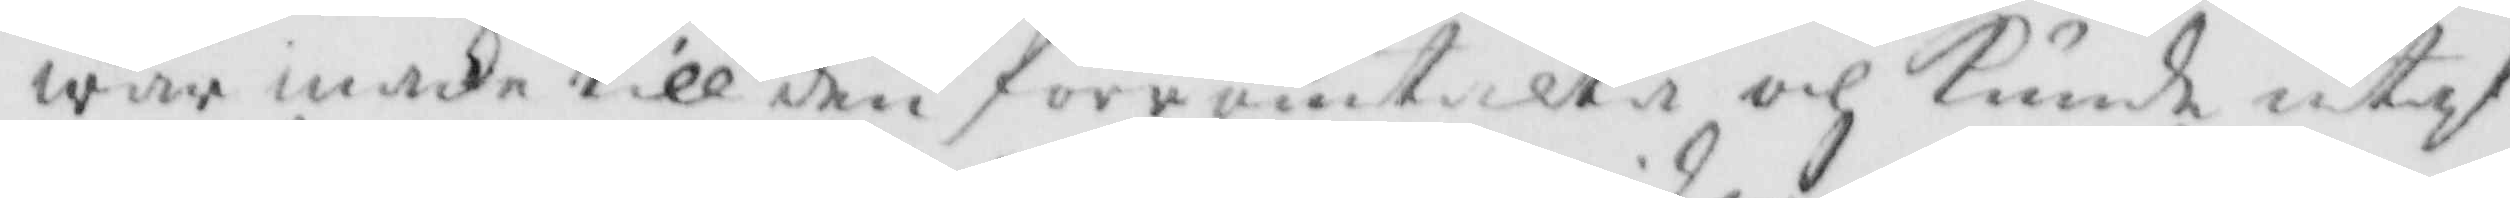war maka till den förromtalta och kunde utaf
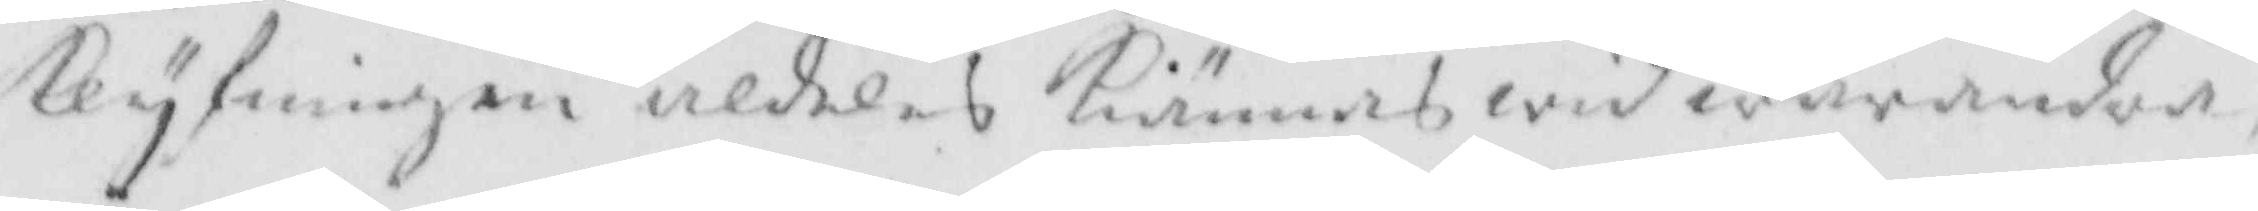klyfningen aldeles kiännas wid warandra,
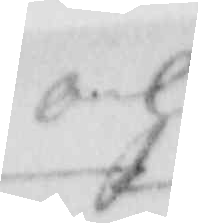och
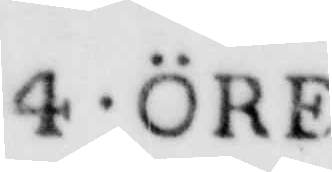4 ÖRE
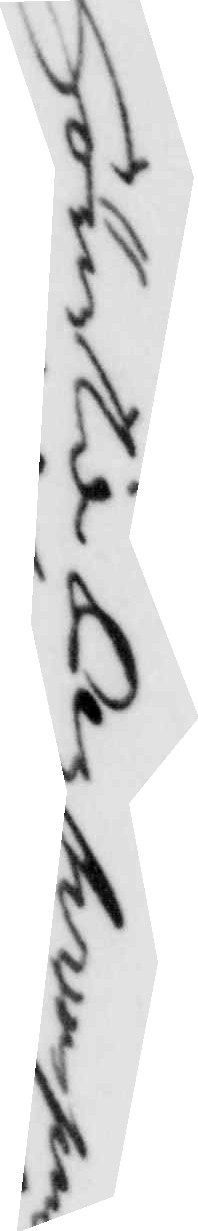Hör til Per swenssons
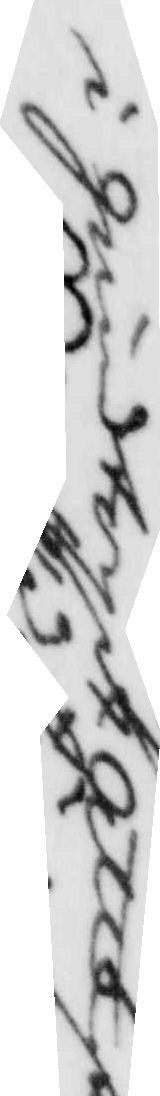i grindtorpet attest
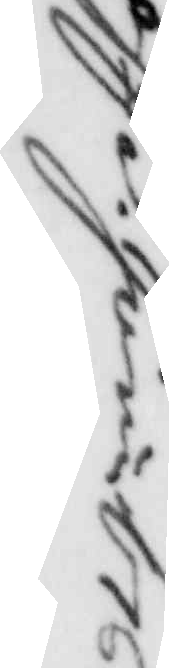d 3. Juni 1761.
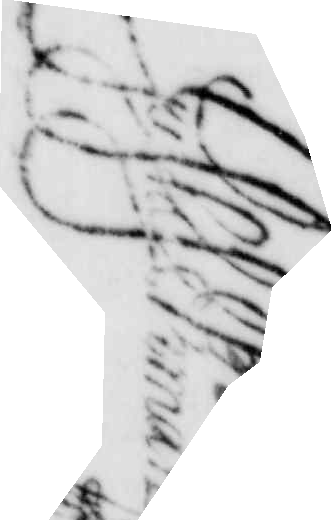Gustaf Ekman
